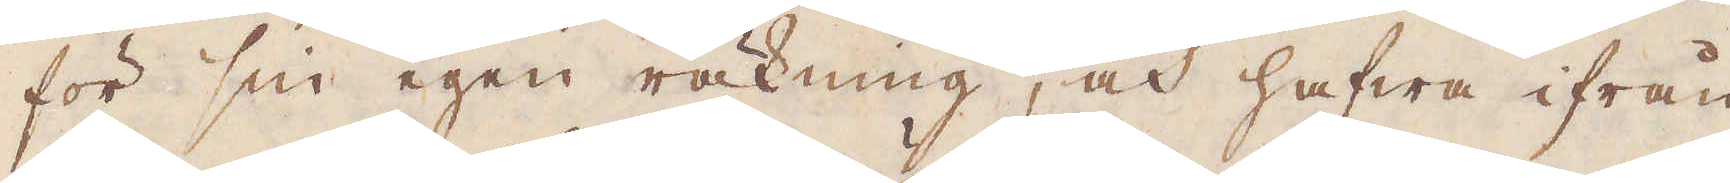för sin egen räkning, och hafwa ifrån
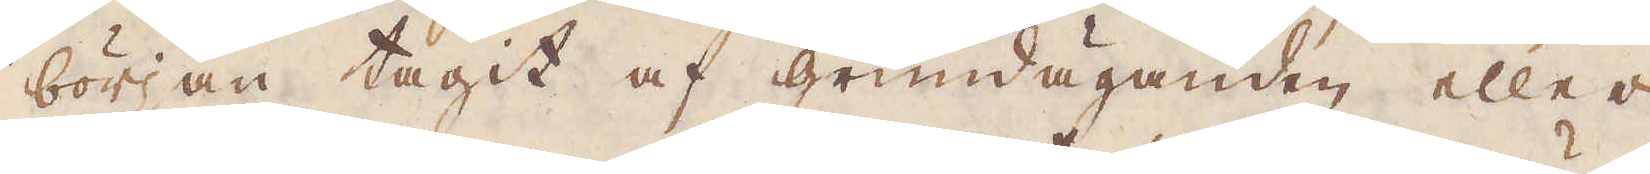början tagit af grundäganden eller
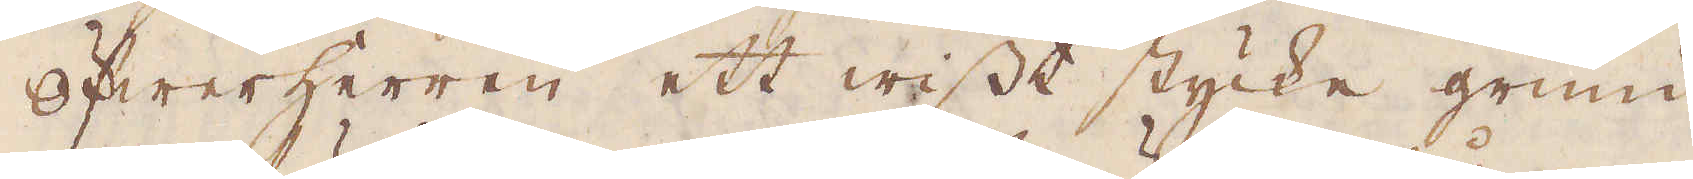Öfwerherren ett wisst stycke grund
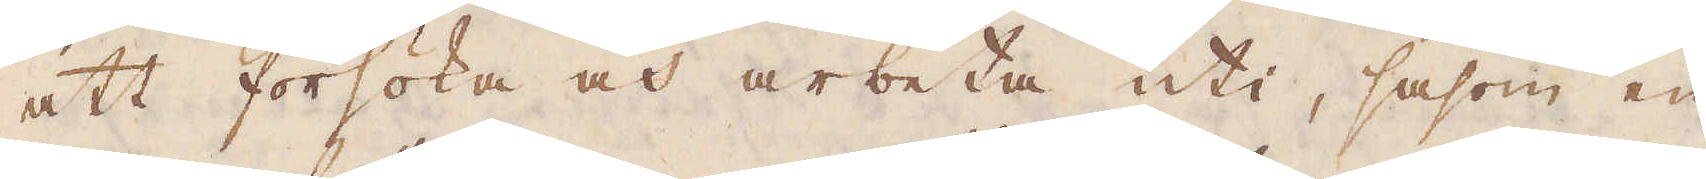att försöka och arbeta uti, såsom en
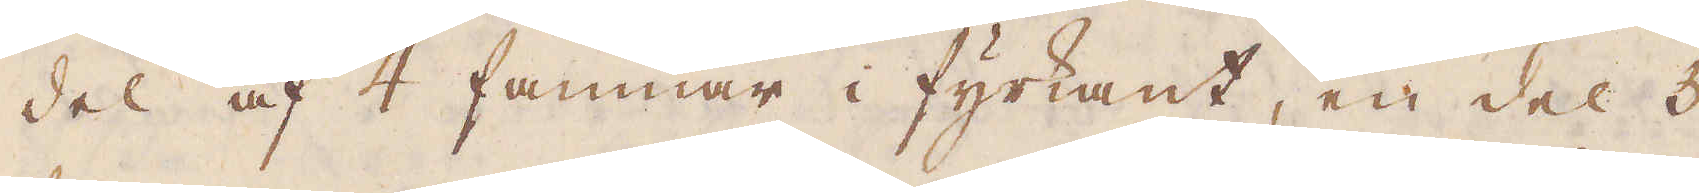del af 4 famnar i fyrkant, en del 5
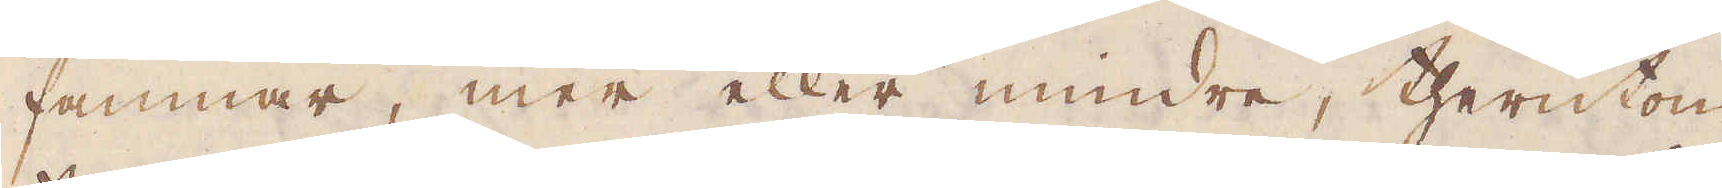famnar, mer eller mindre, therutom
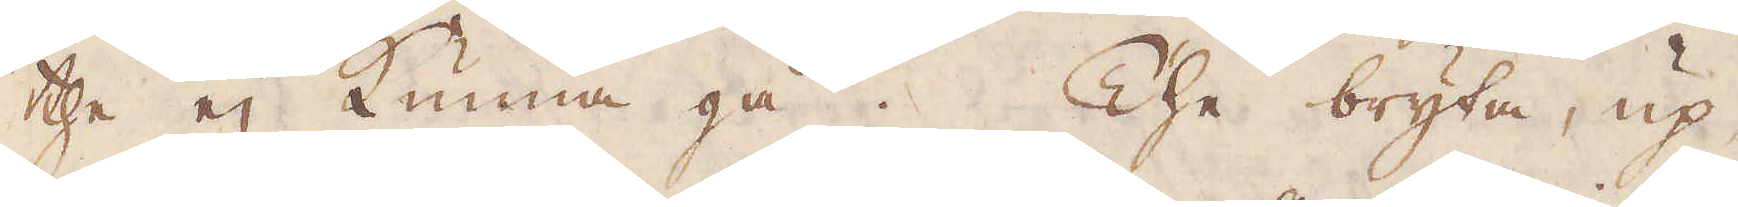the ej kunna gå. The bryta, up-
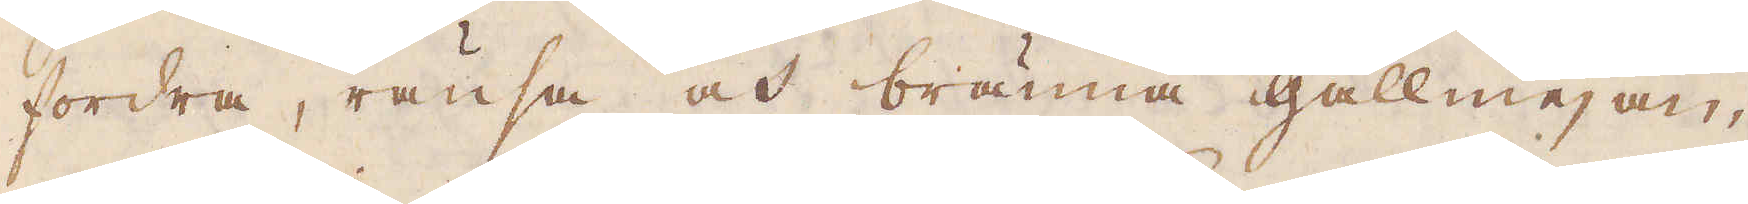fordra, ränsa och bränna gallmejan
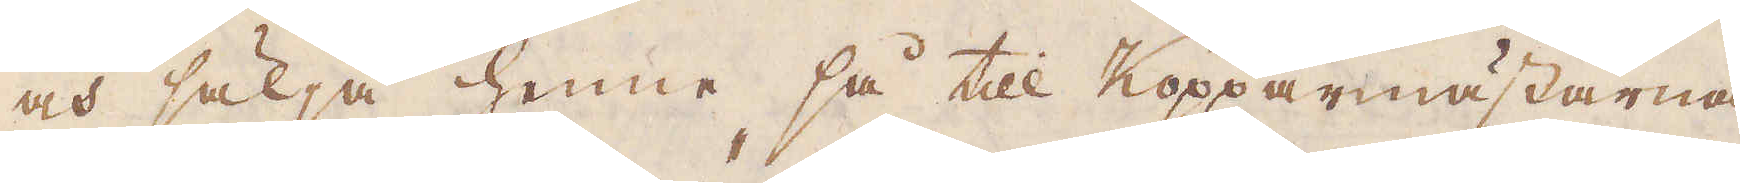och sälja henne så till Kopparmästarna
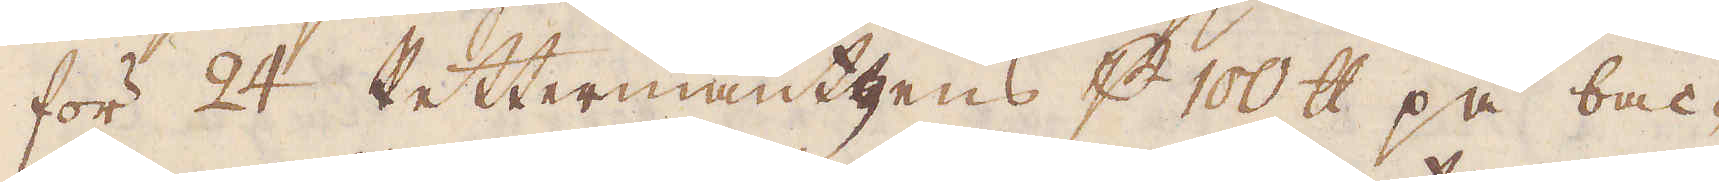för 24 Rettermäntgens p 100 skålpund på bac-
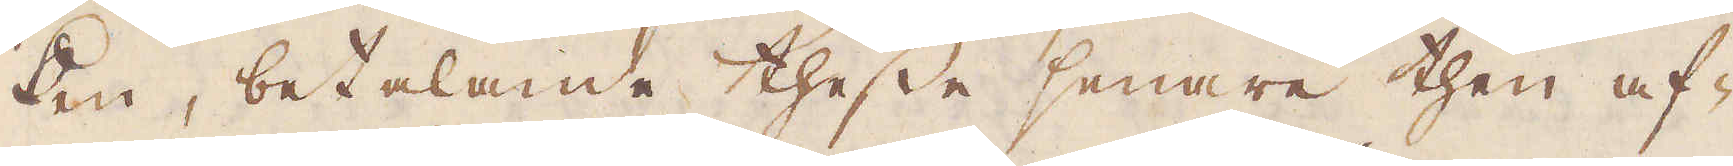ken, betalande thesse senare then af-
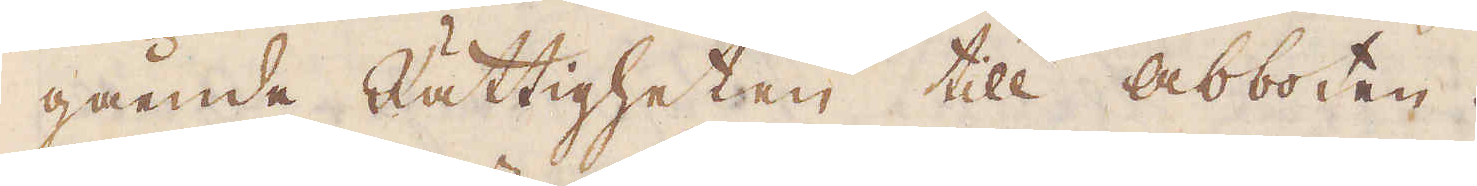gående Rättigheten till Abboten.
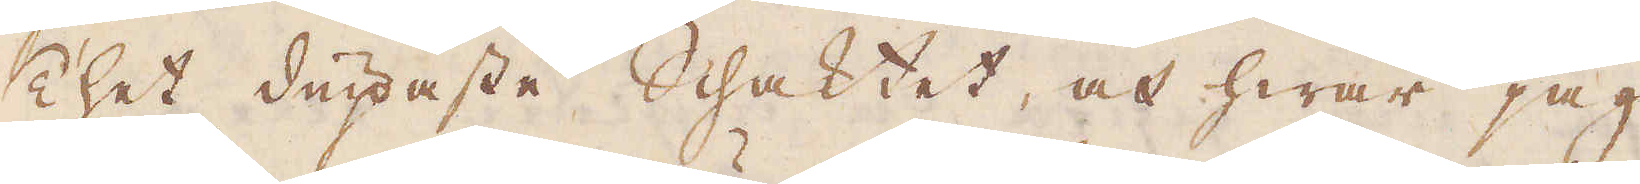Thet diupaste Schaktet, och hwar jag
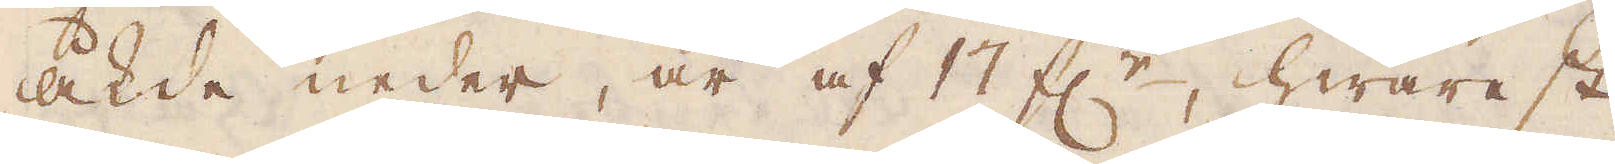åkde neder, är af 17 f:r, hwarest
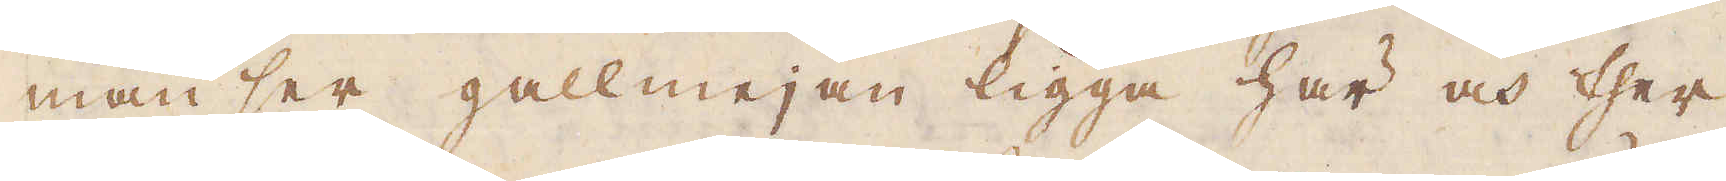man ser gallmejan ligga här och ther
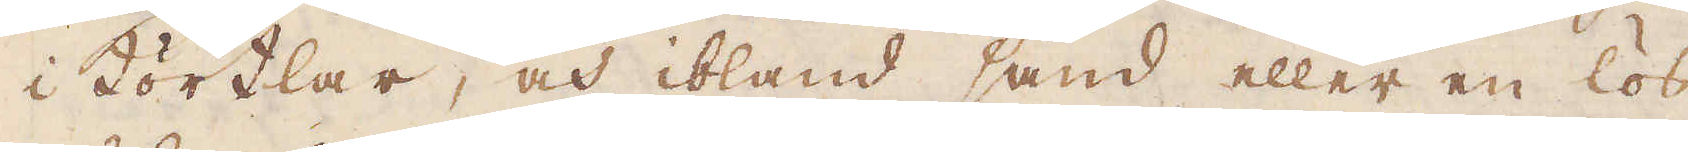i Körtlar, och ibland sand eller en lös
